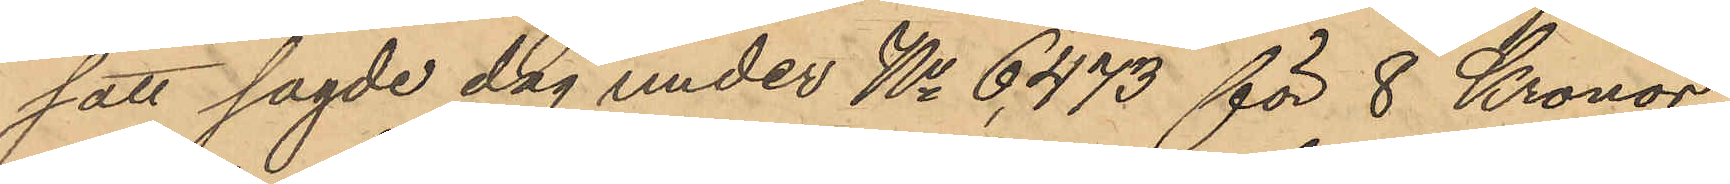satt sagde dag under No 6473 för 8 Kronor
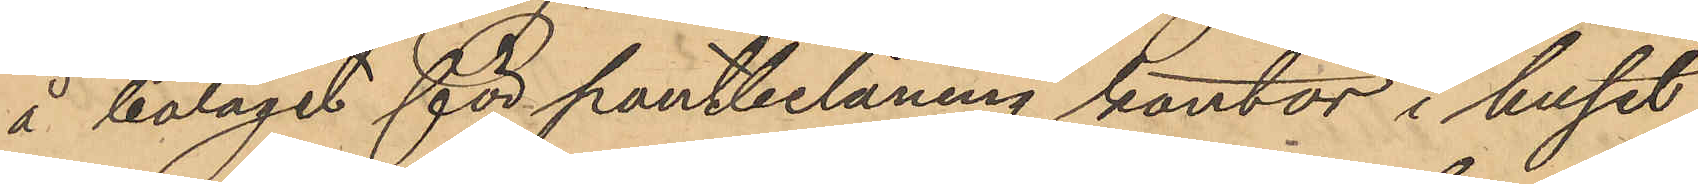å bolaget för pantbelåning kontor i huset
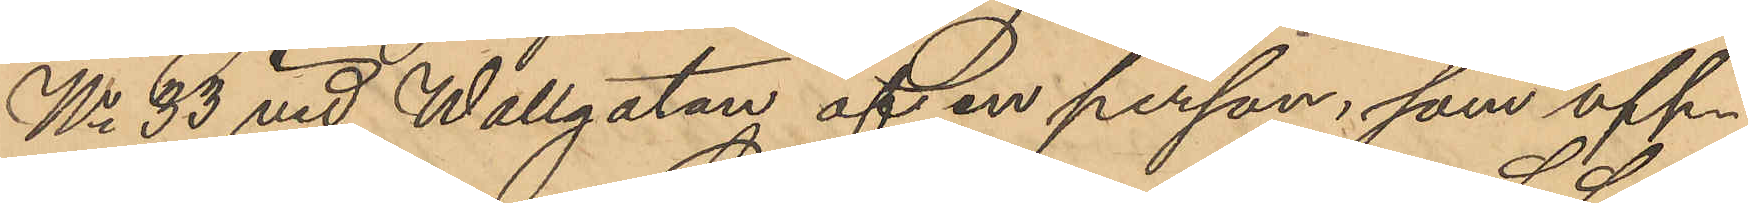No 33 vid Wallgatan af en person, som upp¬
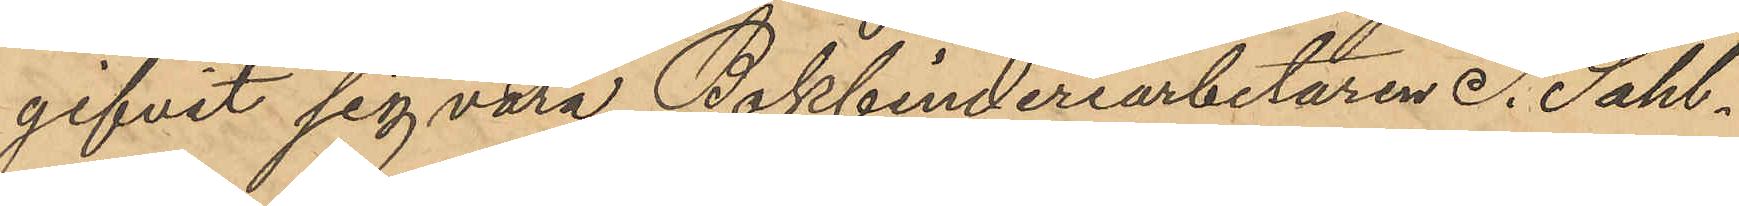gifvit sig vara Bokbinderiarbetaren S. Sahl¬
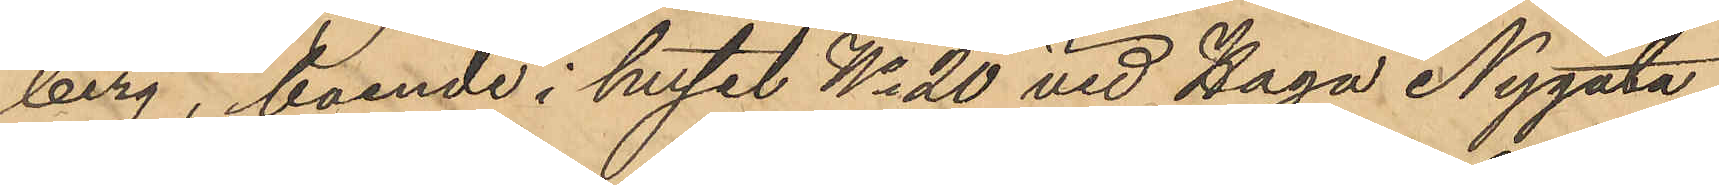berg, boende i huset No 20 vid Haga Nygata
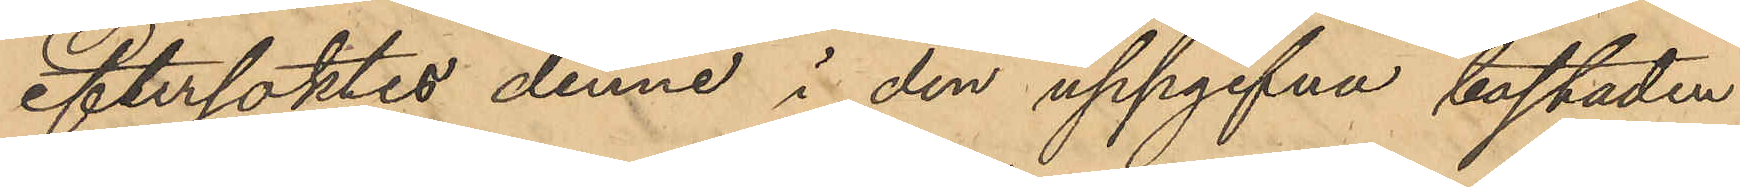eftersöktes denne i den uppgifna bostaden
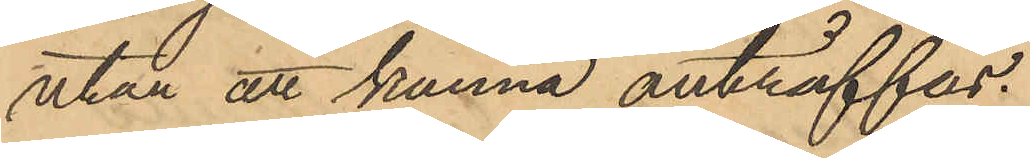utan att kunna anträffas.
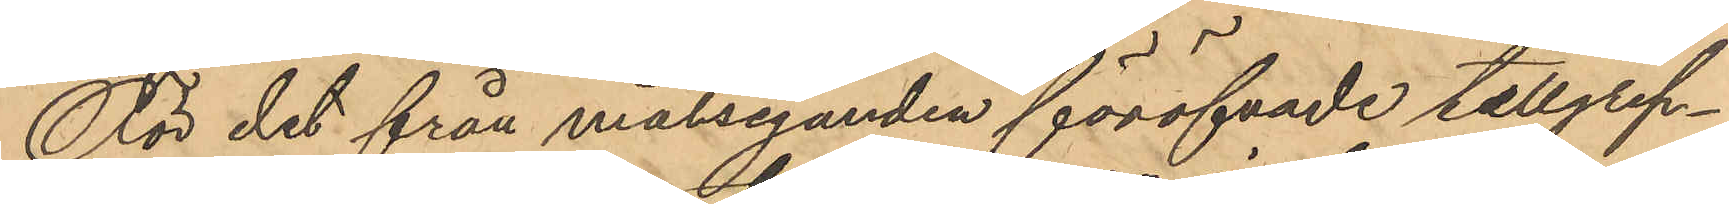För det från målseganden föröfvade tillgrep¬
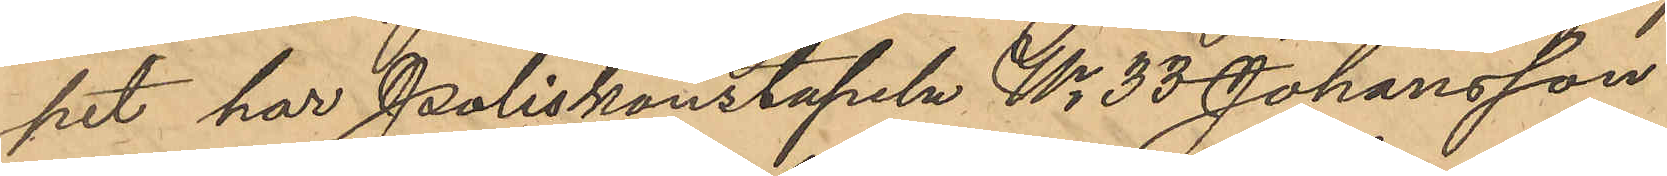pet har Poliskonstapeln No 33 Johansson
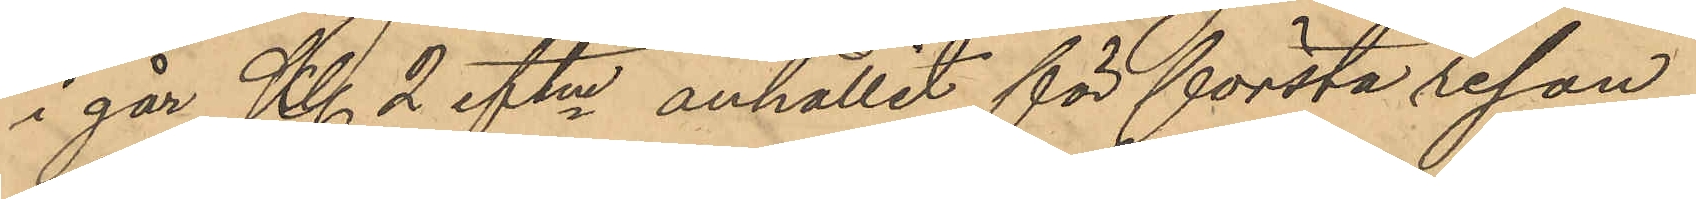i går Kl 2 eftm anhållit för första resan
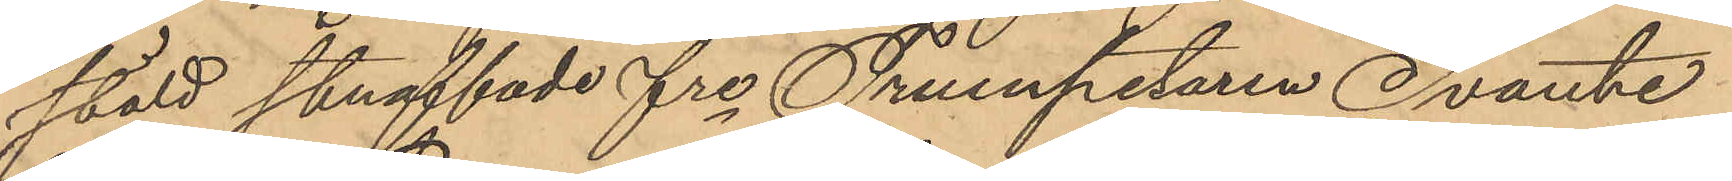stöld straffade fre Trumpetaren Svante
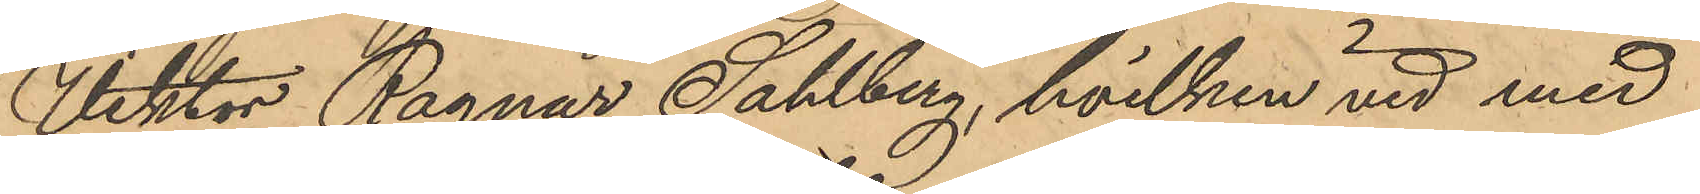Viktor Ragnar Sahlberg, hvilken vid med
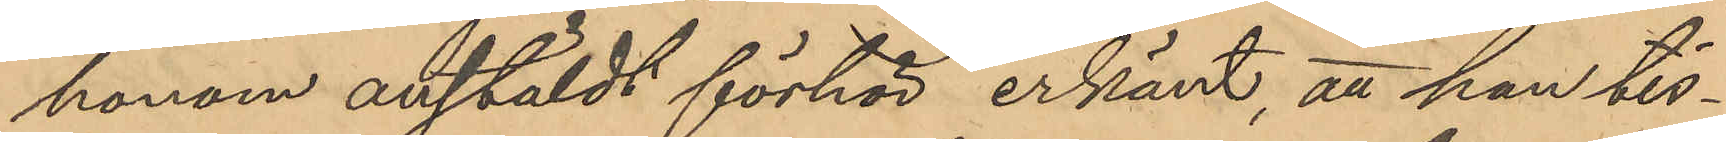honom anstäldt förhör erkänt, att han tis¬
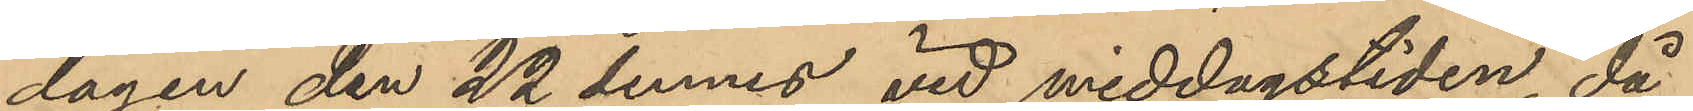dagen den 22 dennes vid middagstiden, då
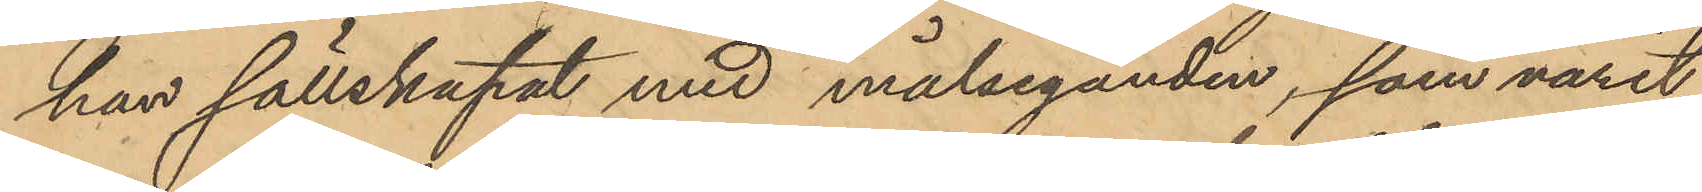han sällskapat med målseganden, som varit
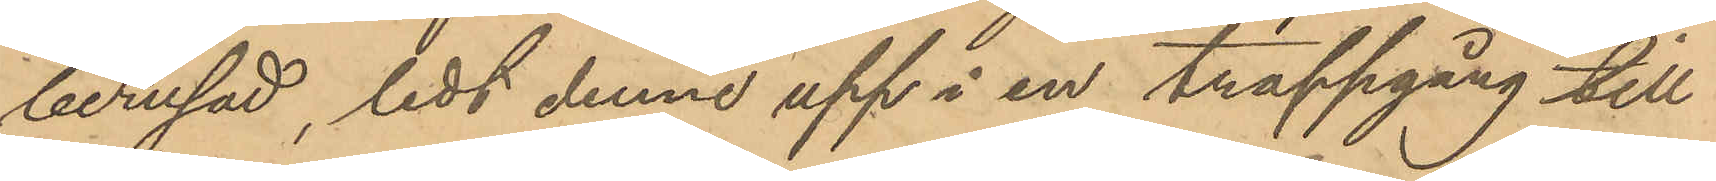berusad, ledt denne upp å en trappgång till
